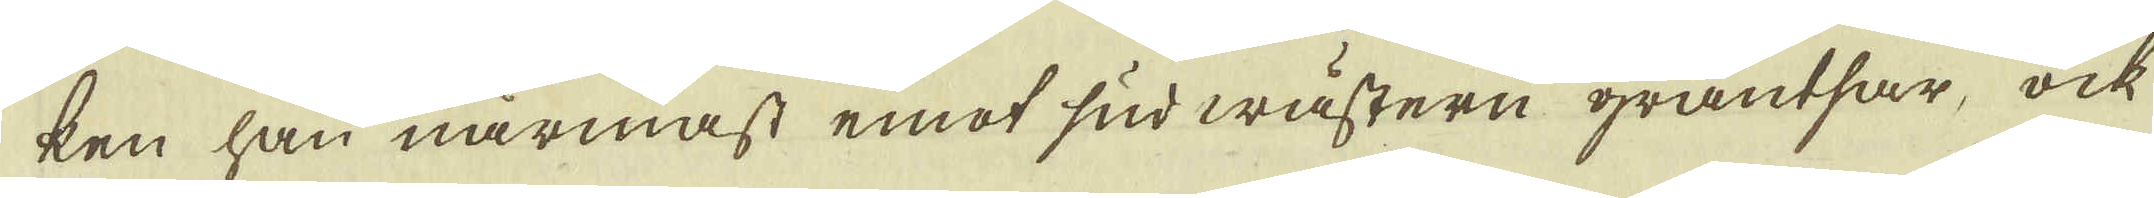ken han närmast emot sud wästern gräntsar, ock
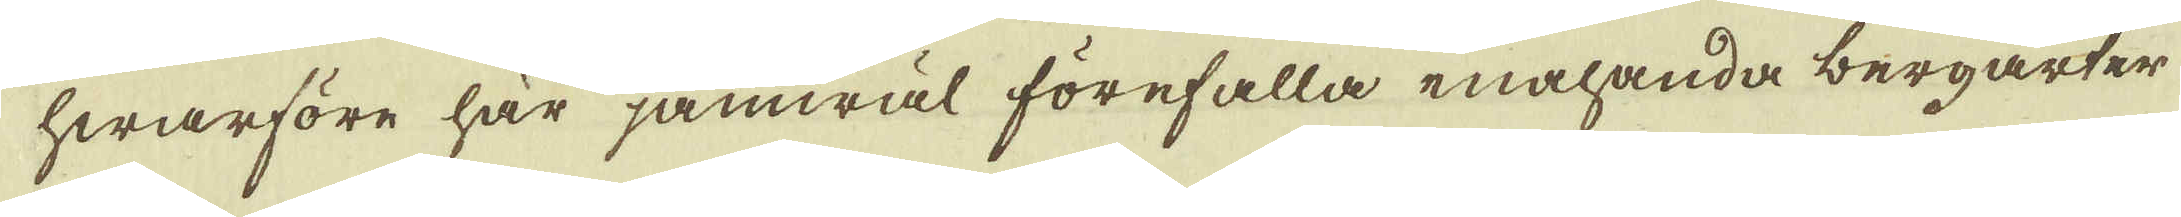hwarföre här jämwäl förefalla enahanda bergarter
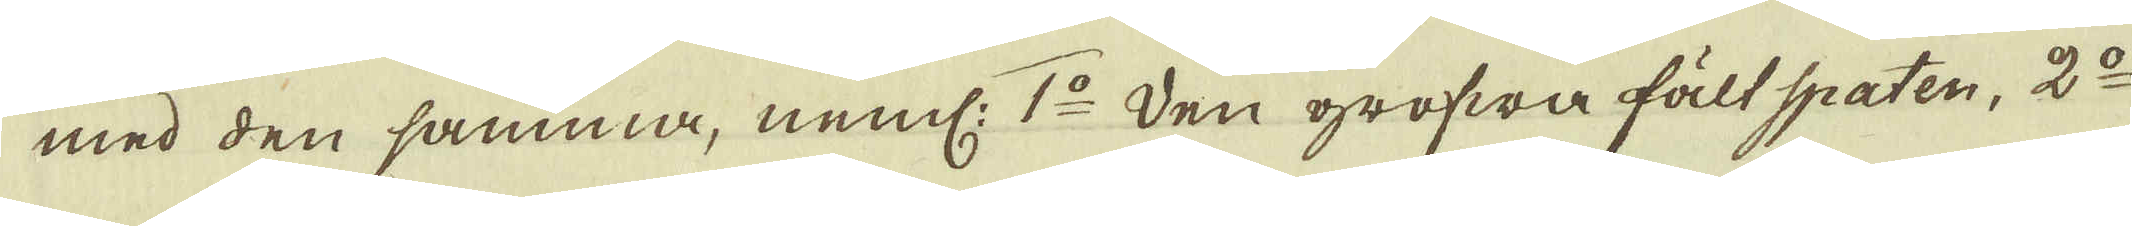med den samma, neml: 1:o Den grofwa fält spaten, 2:o
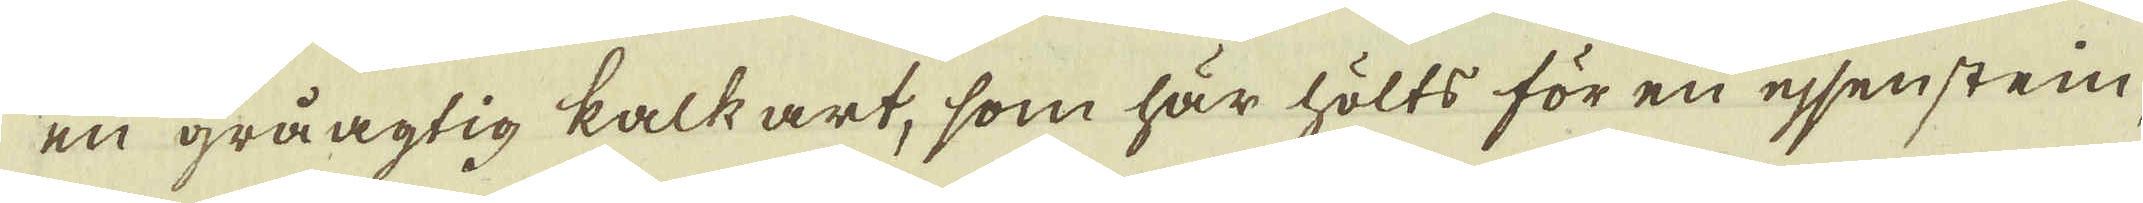en gråagtig kalk art, som här hölts för en ejsenstein
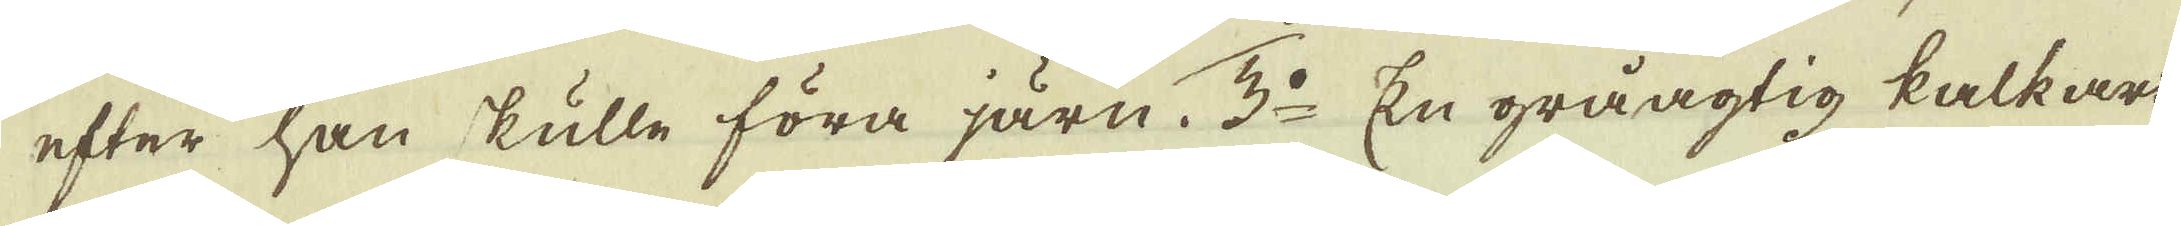efter han skulle föra järn. 3:o En gråagtig kalkart
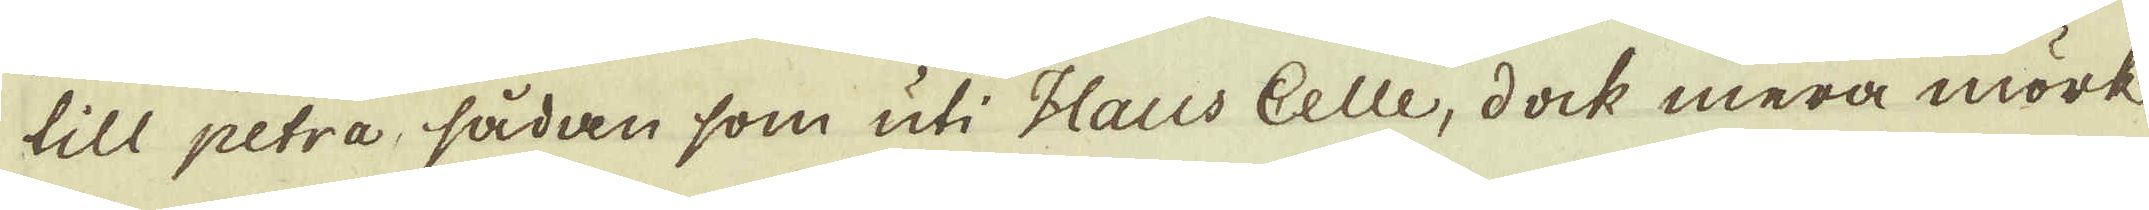till petra, sådan som uti Haus Celle, dock mera mörk
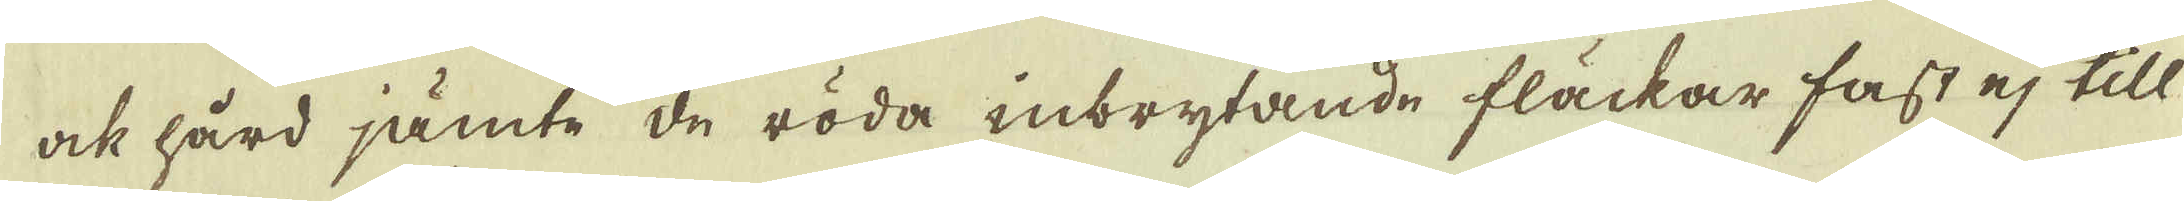ock hård jämte de röda inbrytande fläckar fast ej till
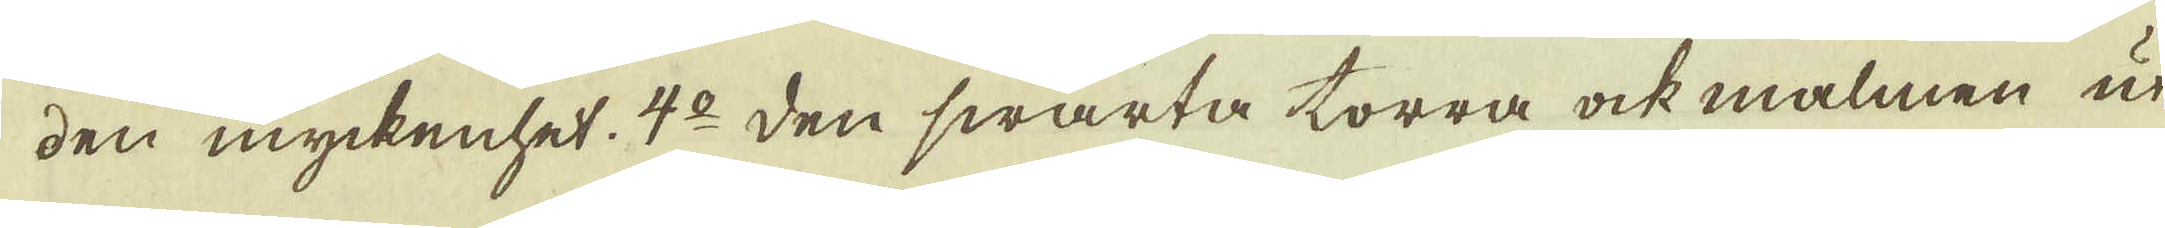den myckenhet. 4:o den swarta torra ock malmen ut-
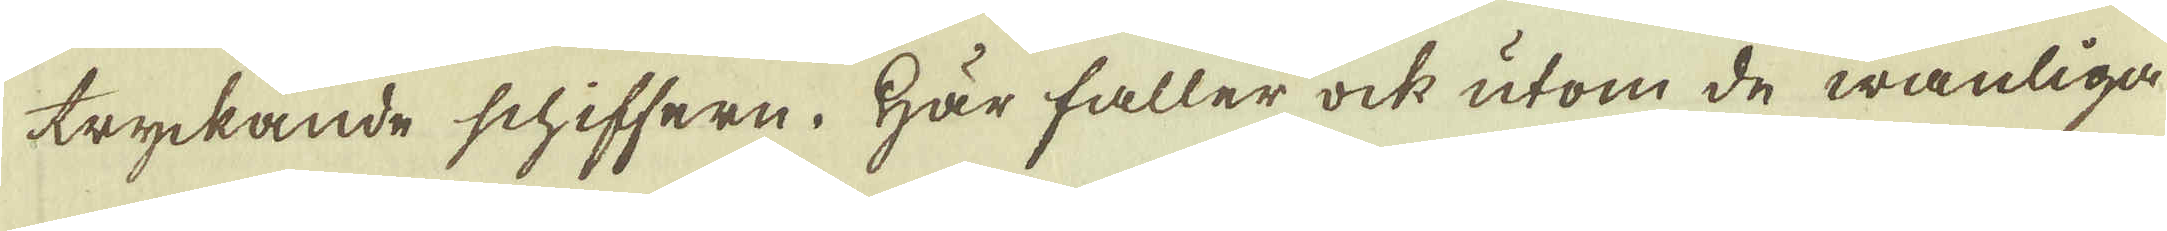tryckande schiffern. Här faller ock utom de wanliga
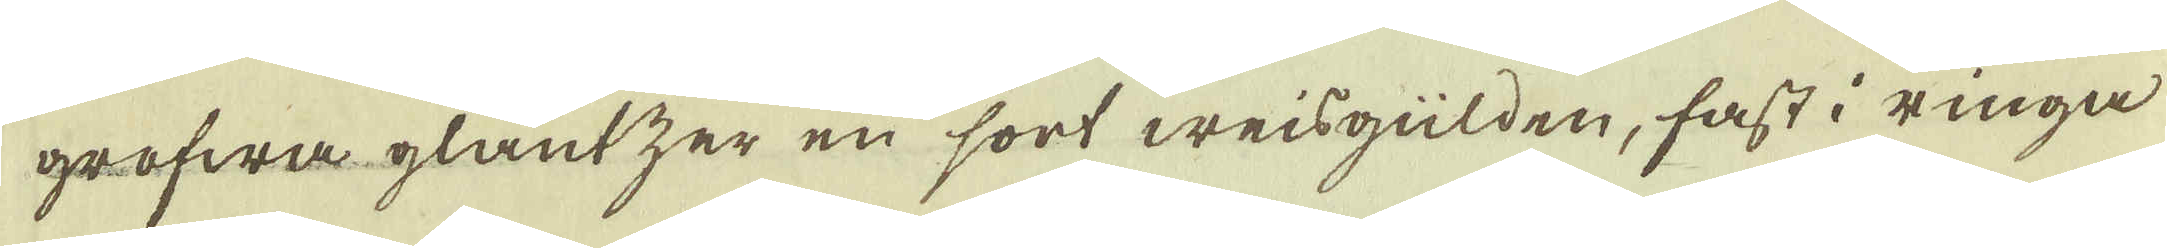grofwa glantzer en sort weisgülden, fast i ringa
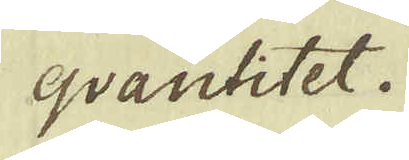qvantitet.
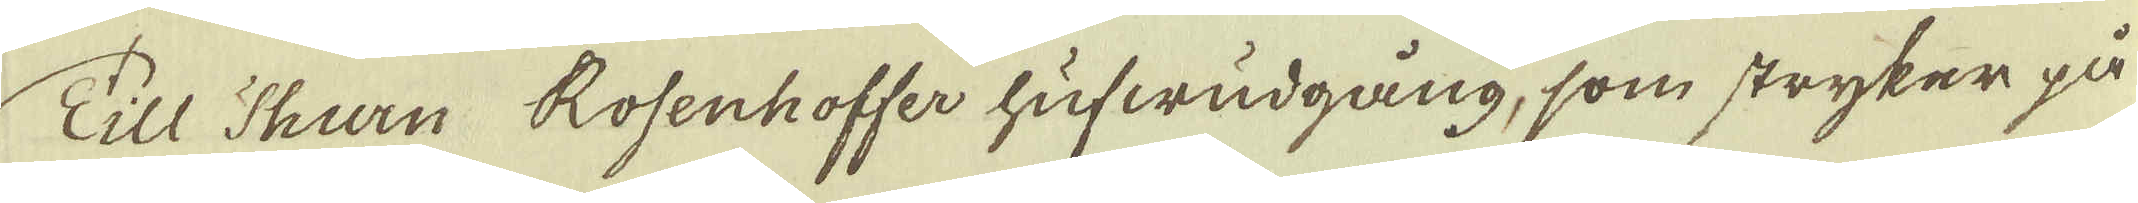Till Turn Rosenhoffer hufwudgång, som stryker på
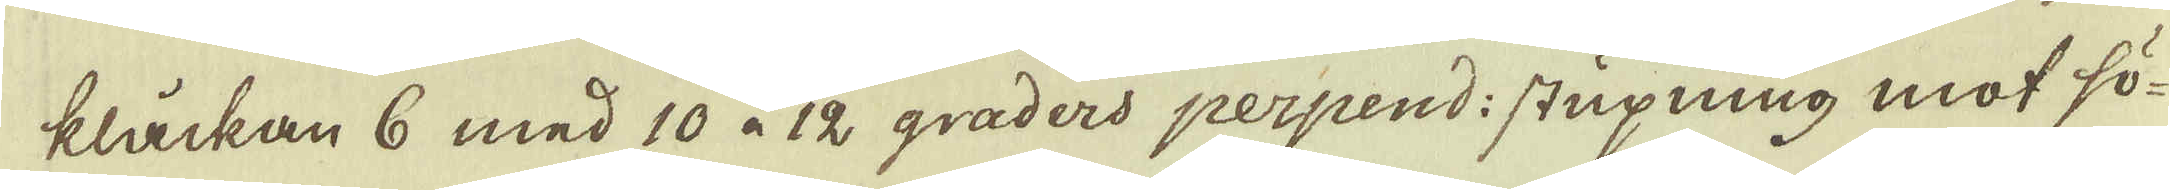klåckan 6 med 10 à 12 graders perpend: stupning mot sö-
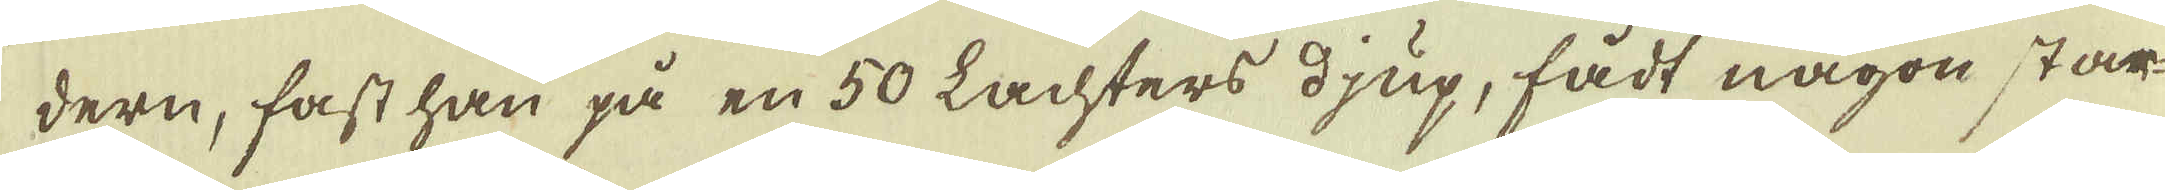dern, fast han på en 50 Lachters djup, fådt någon star-
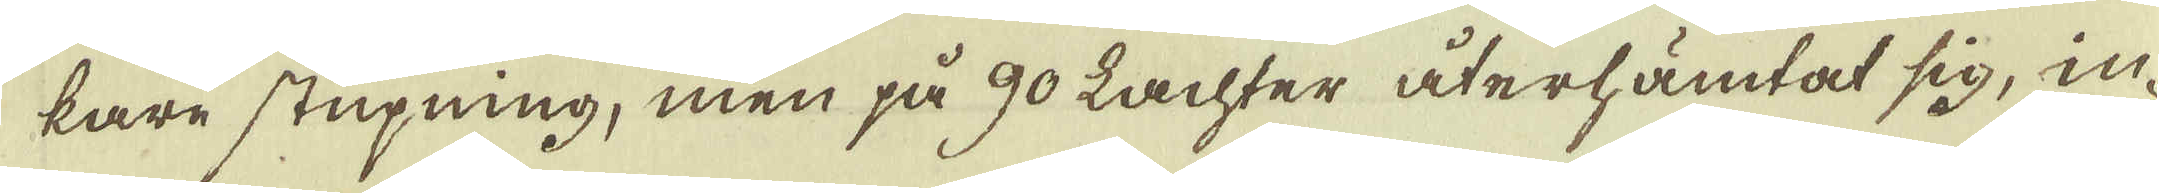kare stupning, men på 90 Lachter återhämtat sig, in-
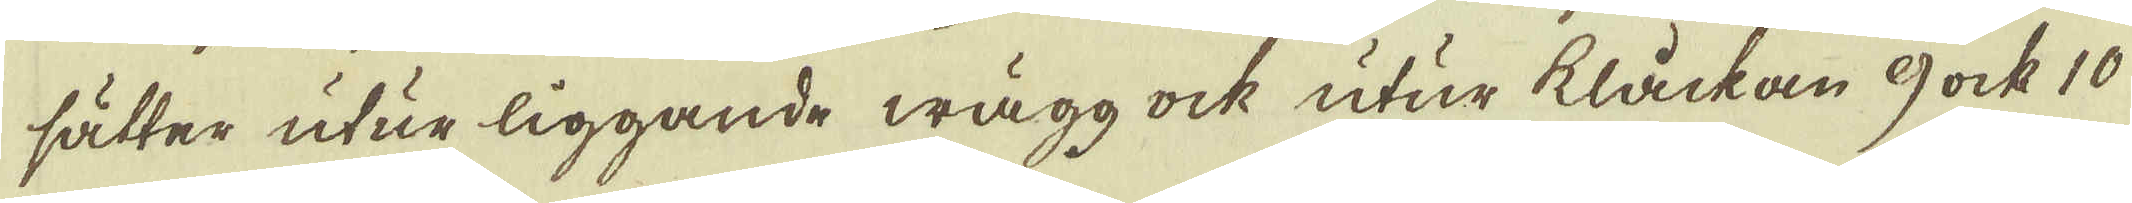sätter utur liggande wägg ock utur klåckan 9 ock 10
